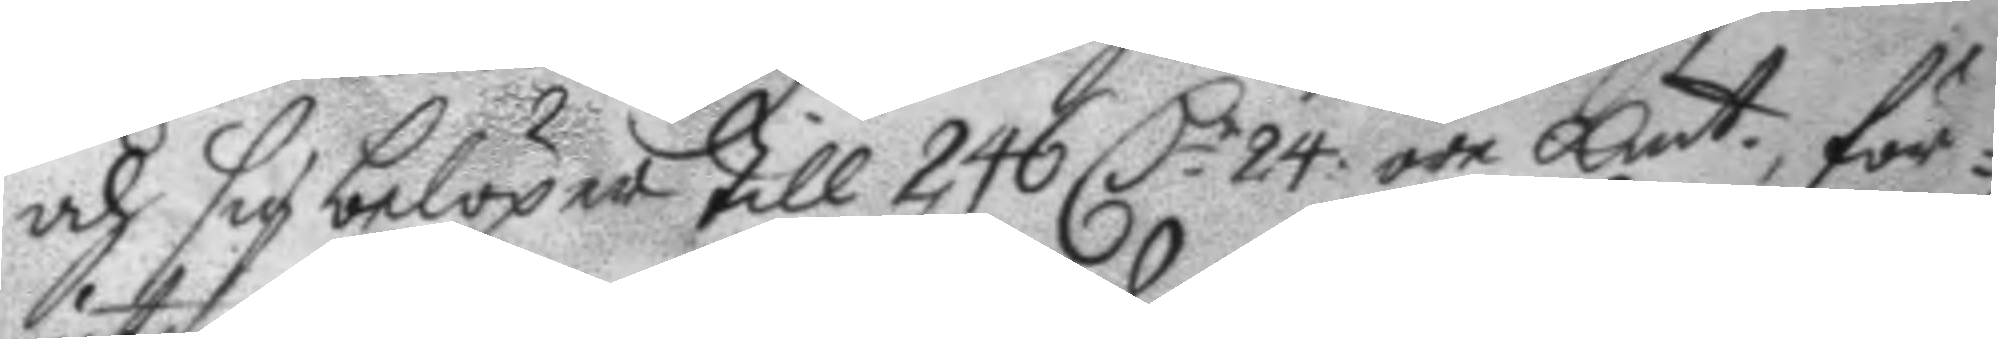och sig belöper till 246 C.r 24 öre kmt, för¬
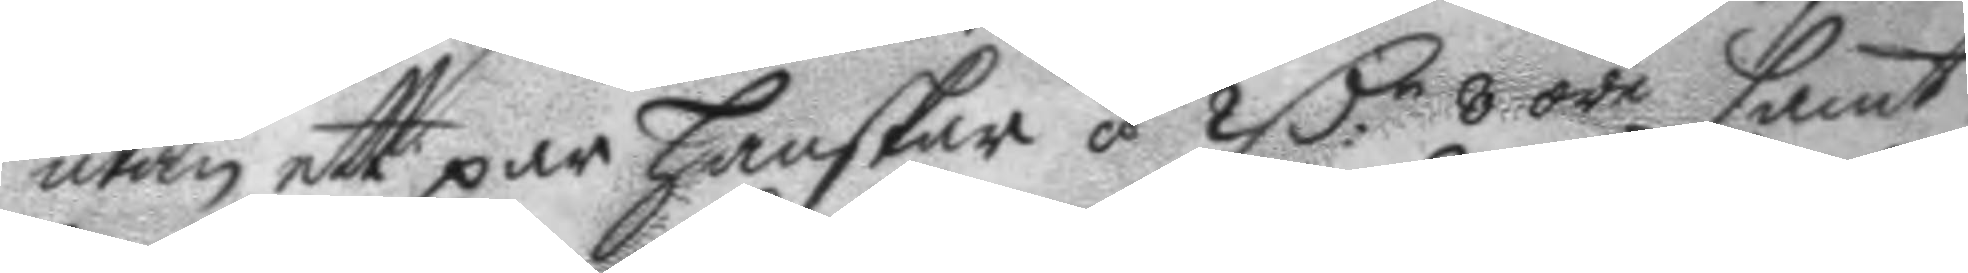utan ett par hanskar á 2 C.r 8 öre samt
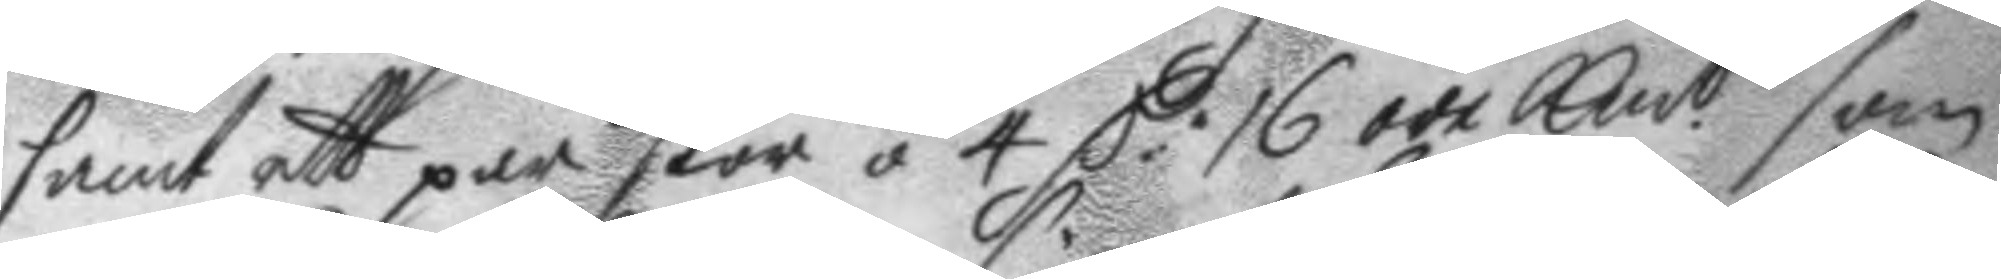samt ett par skor á 4 C.r 16 öre Kmt som
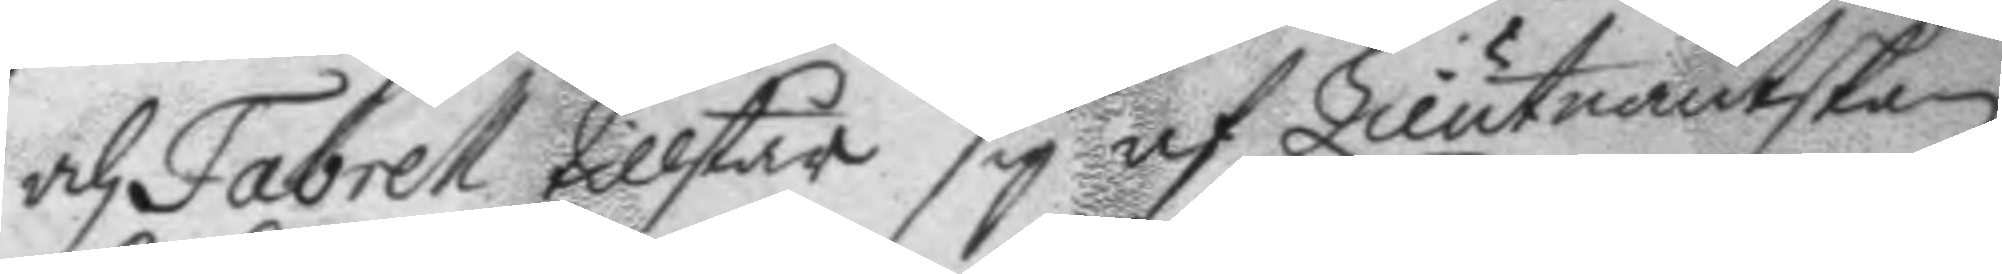och Fabrell tillstår sig af Lieutnantskan
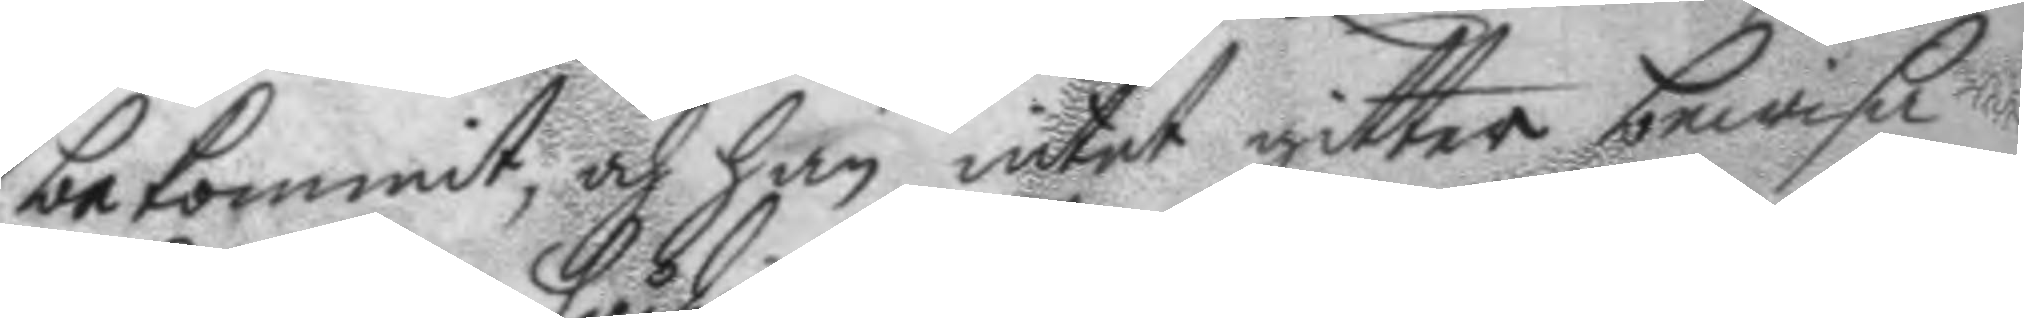bekommit, och han intet gitter bewisa
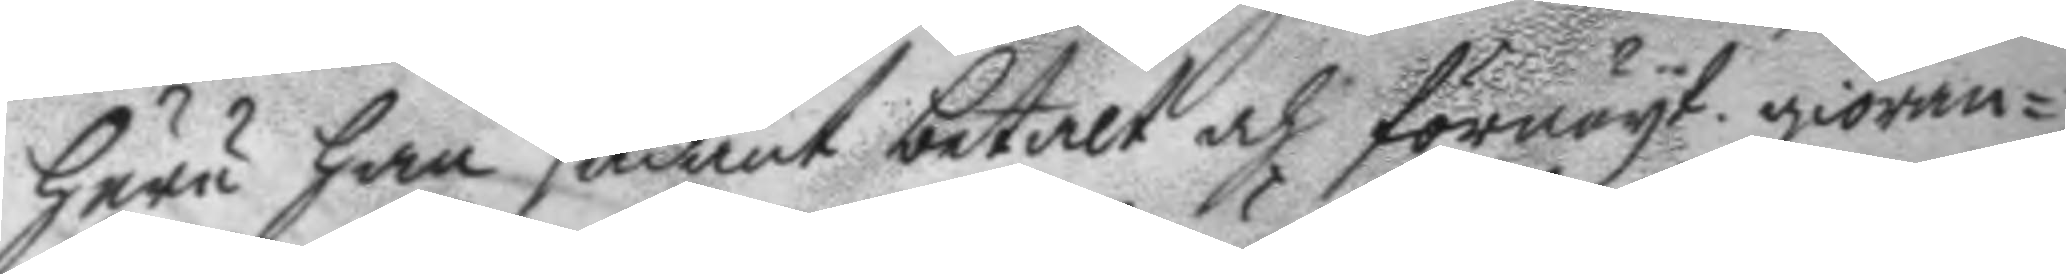huru han sådant betalt och förnöyt giöran¬
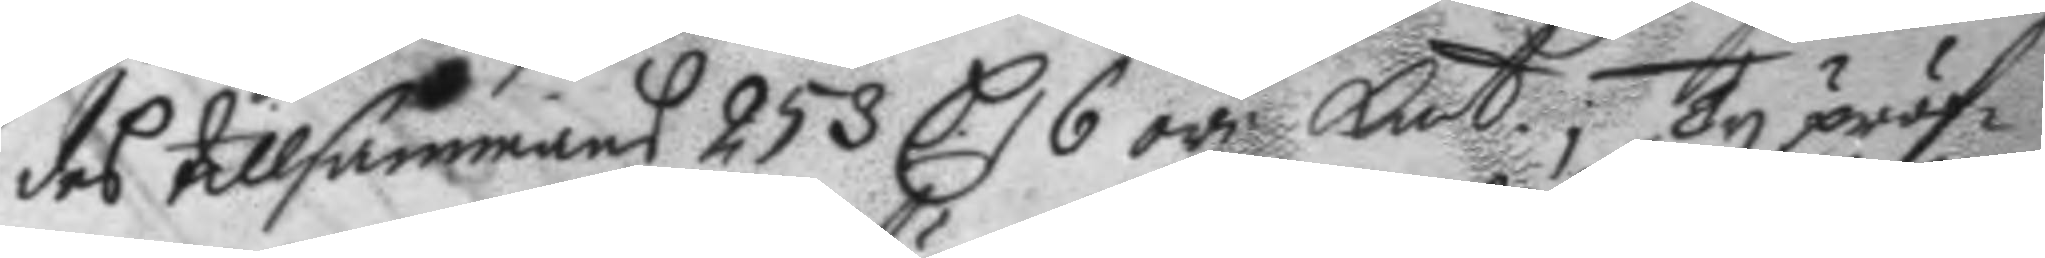des tillsammans 253 C 6 öre Kmt; ty pröf¬
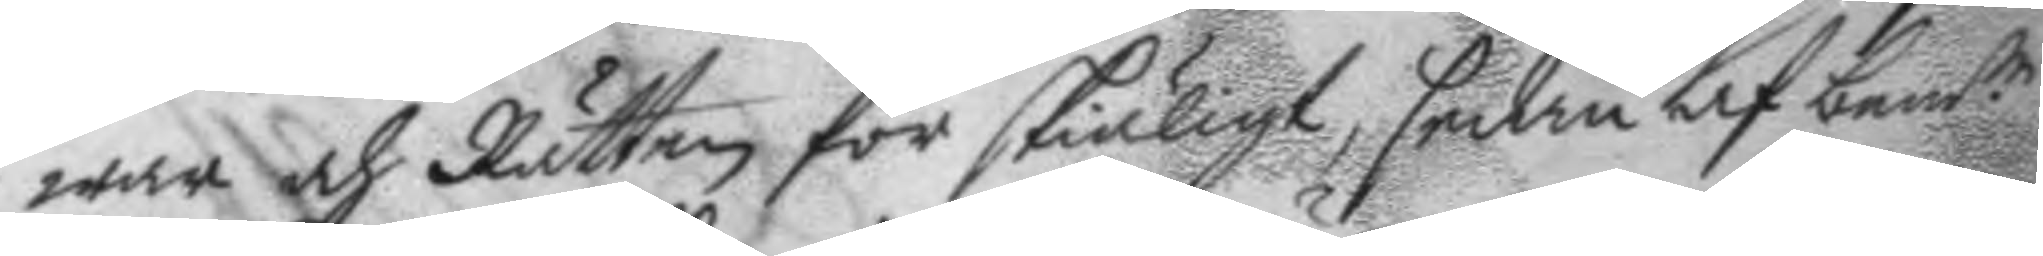war och Rätten för skiäligt, sedan af bem.te
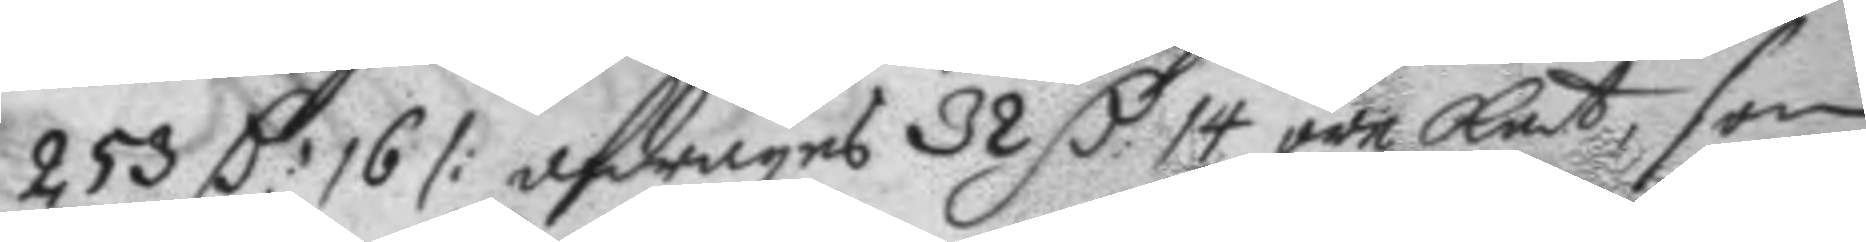253 C: 16 /: afdrages 32 C. 14 öre Kmt, som
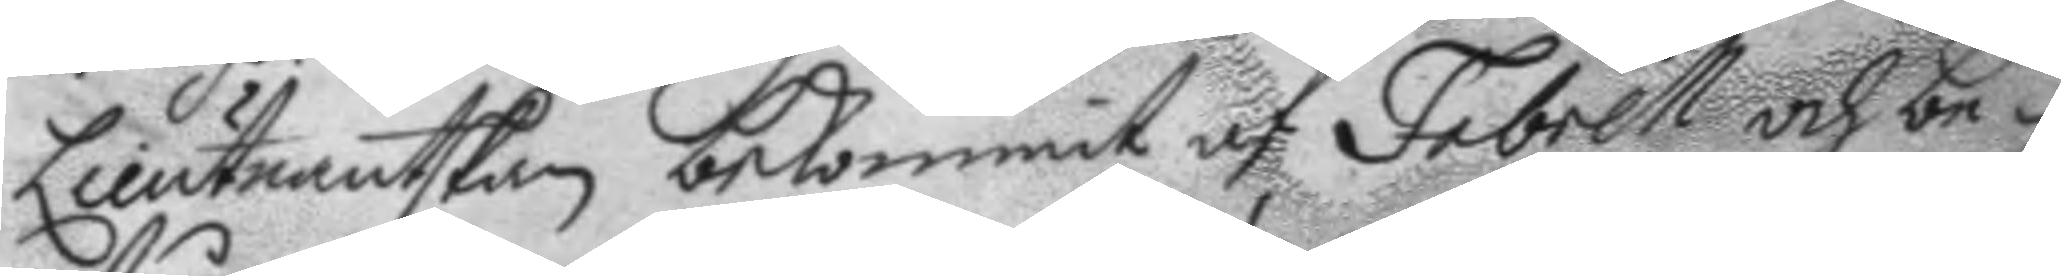Lieutnantskan bekommit af Fabrell och be¬
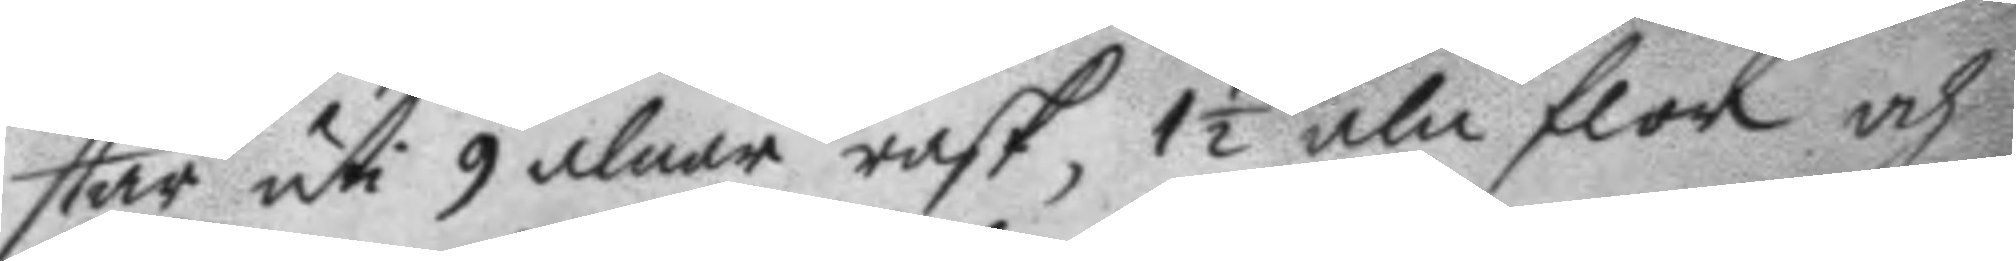står uti 9 alnar rask, 1½ aln flor och
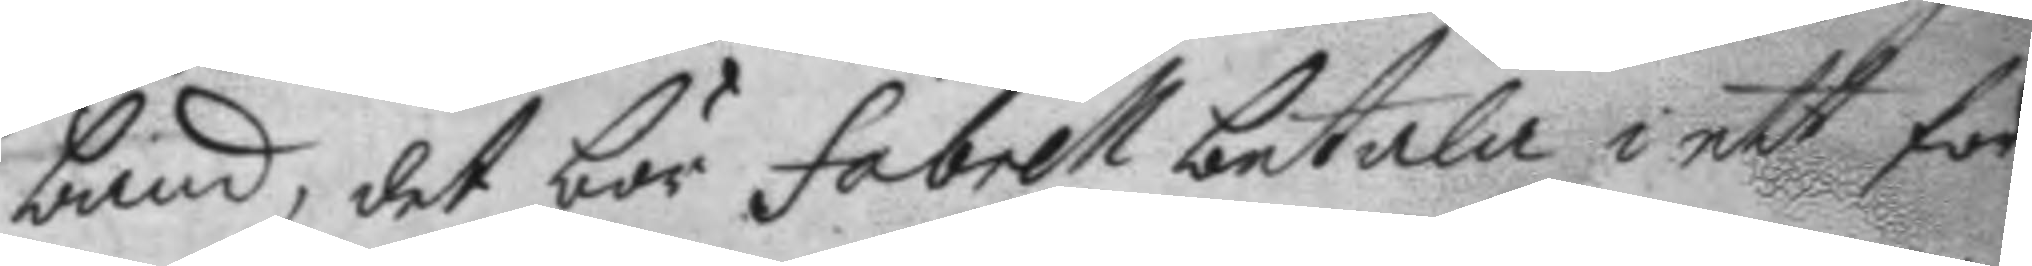band, det bör fabrell betala i ett för
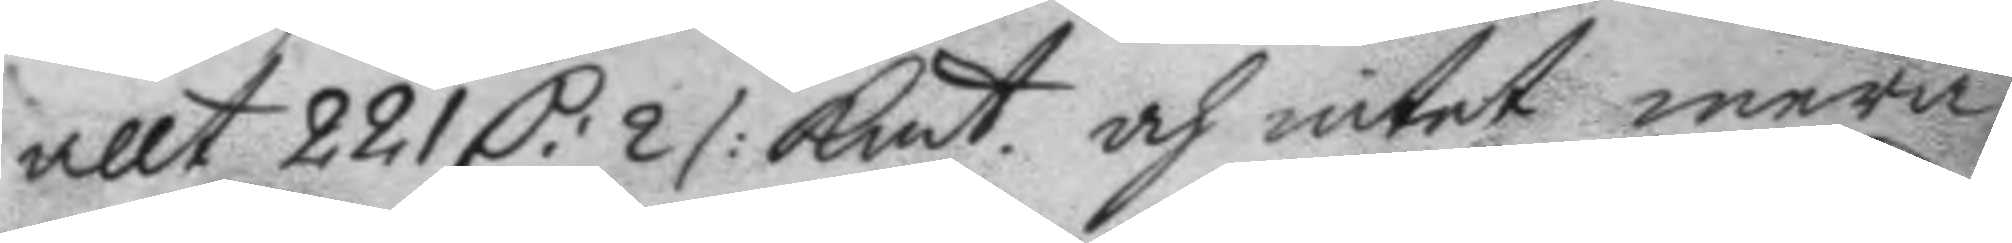allt 221 C: 2 /: Kmt och intet mera,
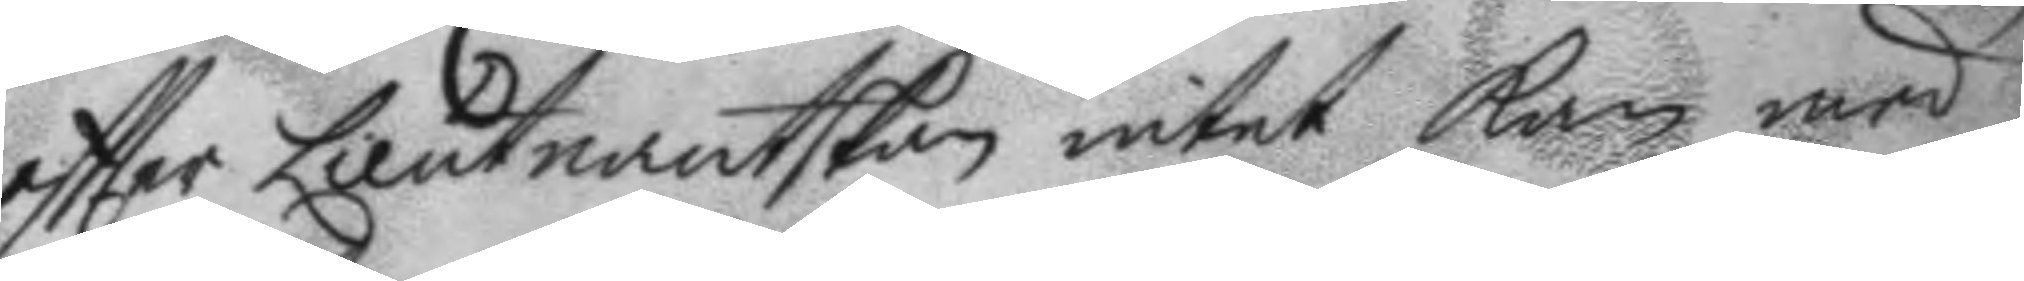eftter Lieutnantskan intet kan med
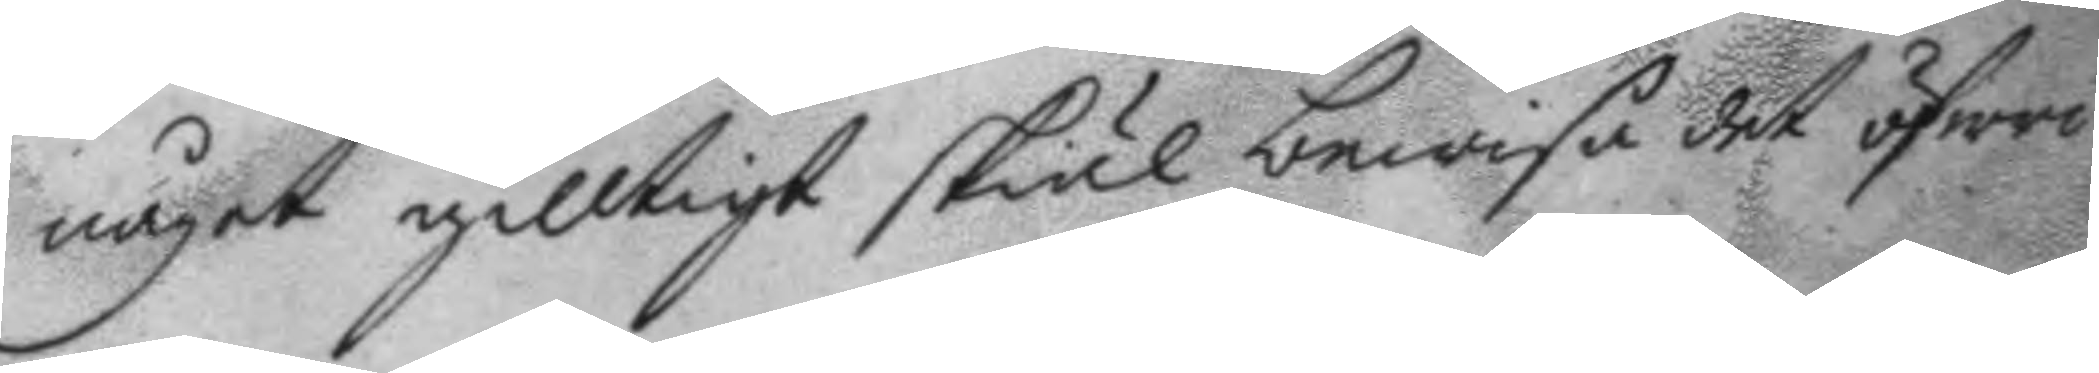något gilltigt skiäl bewisa det öfwri¬
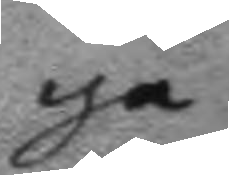ga
